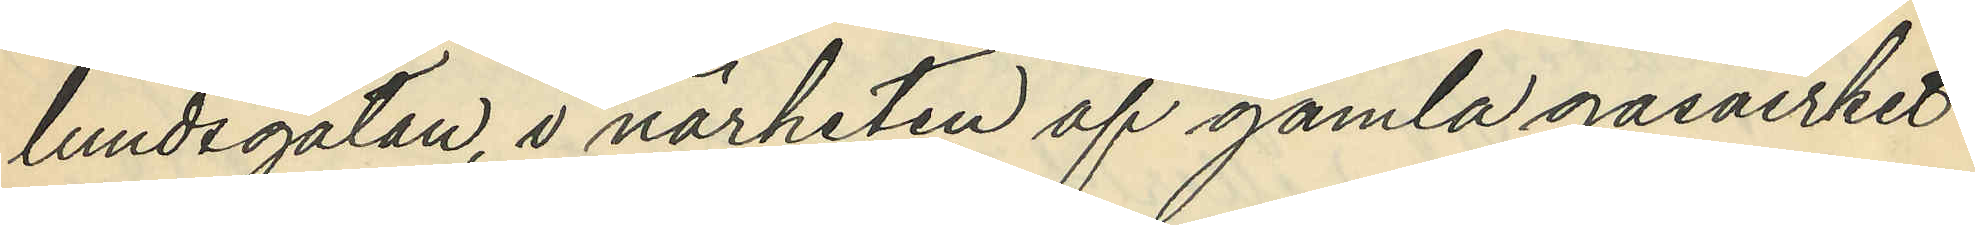lundsgatan i närheten af gamla gasverket
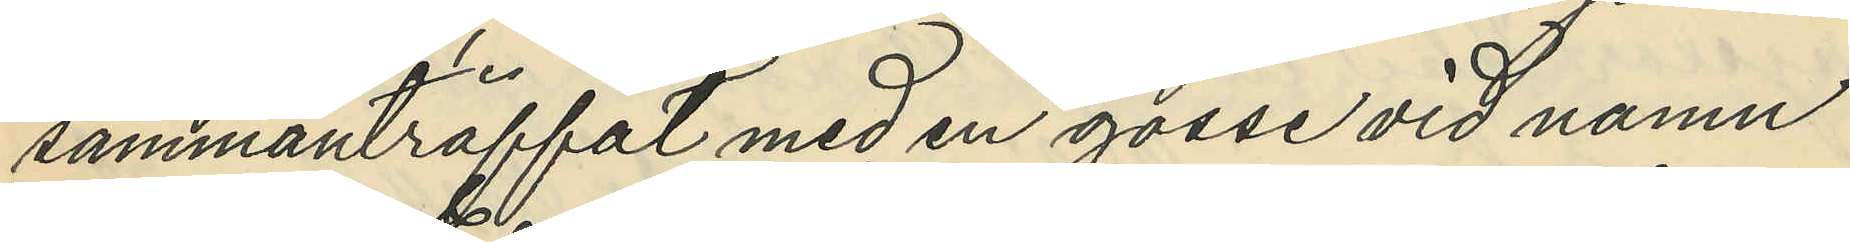sammanträffat med en gosse vid namn
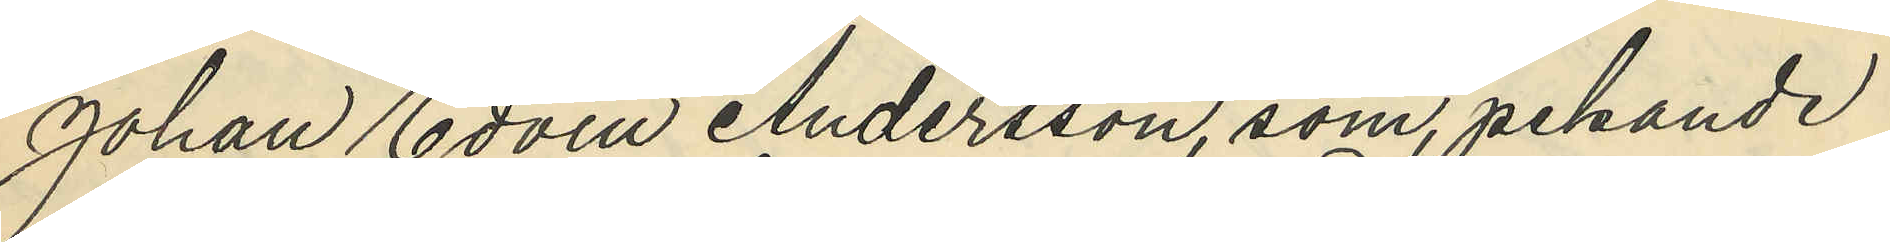Johan Edvin Andersson, som pekande
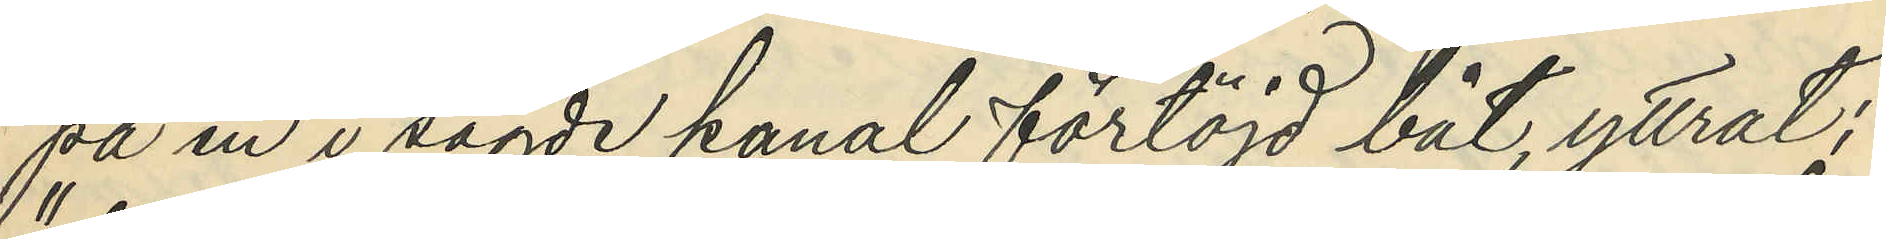på en i sagde kanal förtöjd båt, yttrat:
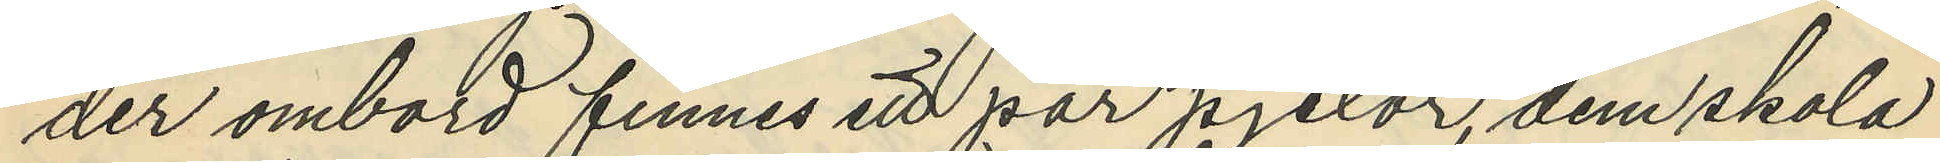"der ombord finnes ett par pjexor dem skola
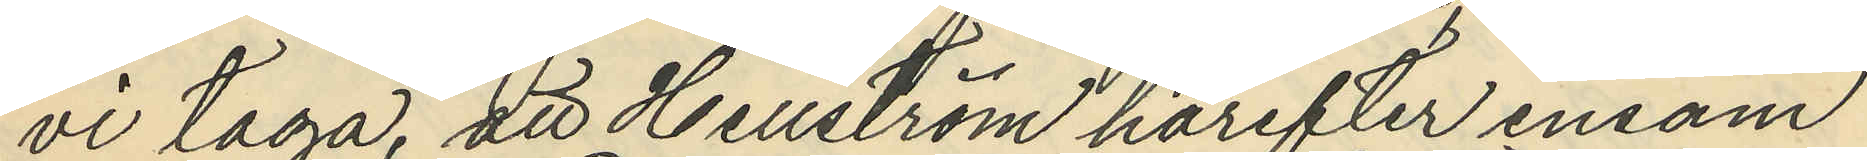vi taga", att Hellström härefter ensam
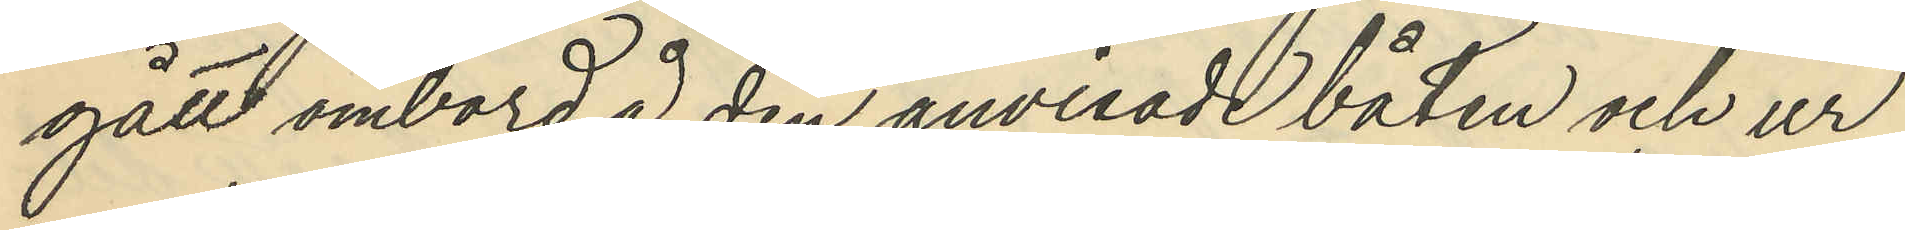gått ombord å den anvisade båten och ur
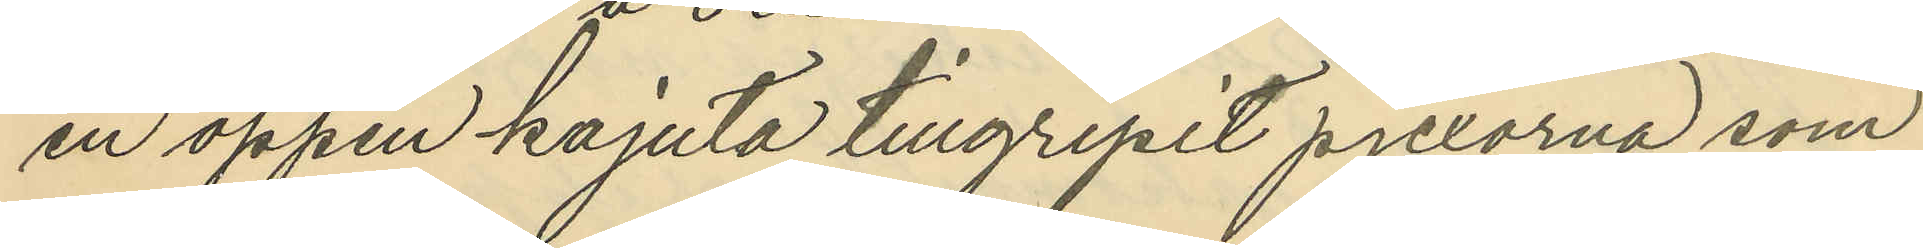en öppen kajuta tillgripit pjexorna som
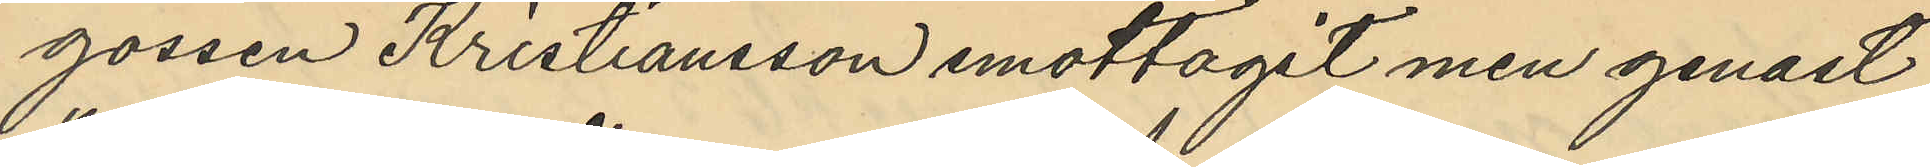gossen Kristiansson emottagit men genast
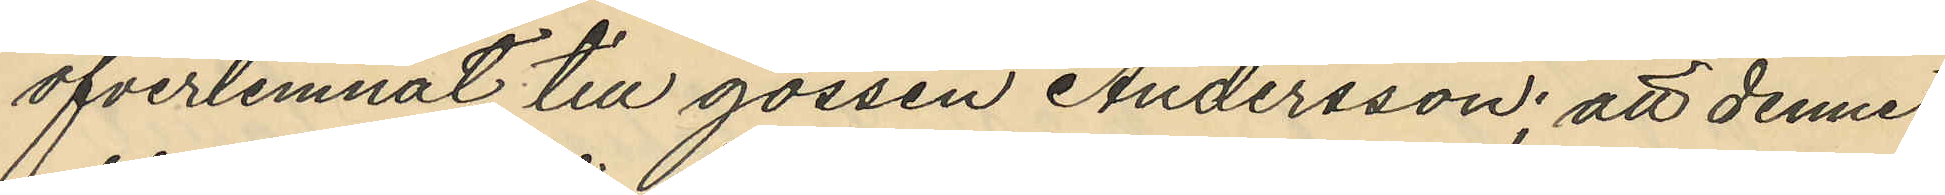öfverlemnat till gossen Andersson: att denne
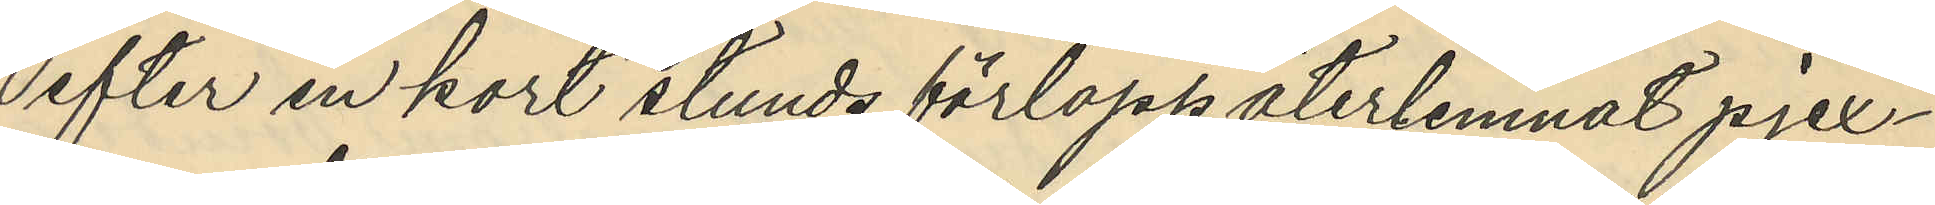efter en kort stunds förlopp återlemnat pjex¬
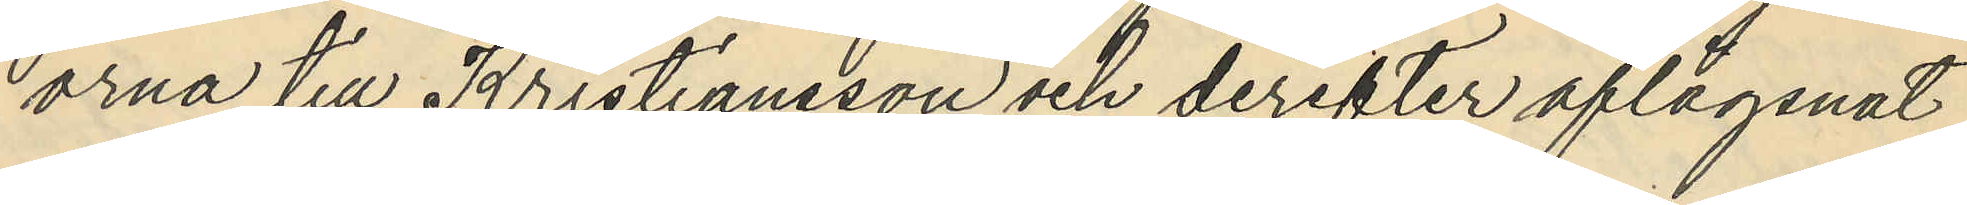orna till Kristiansson och derefter aflägsnat
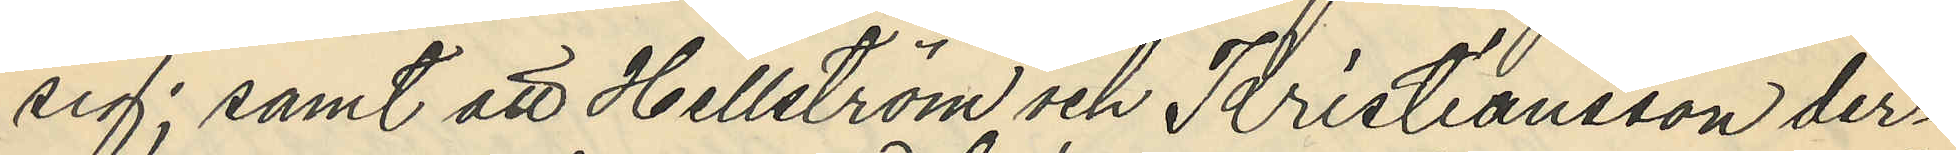sig; samt att Hellström och Kristiansson der¬
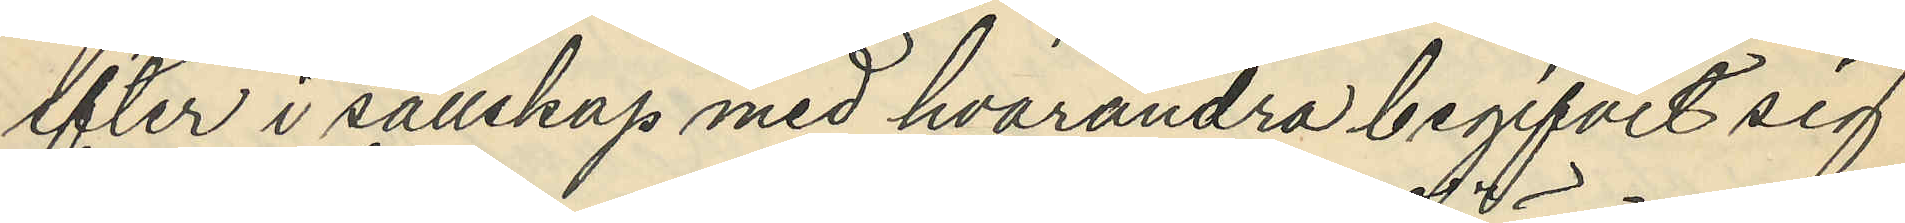eter i sällskap med hvarandra begifvit sig
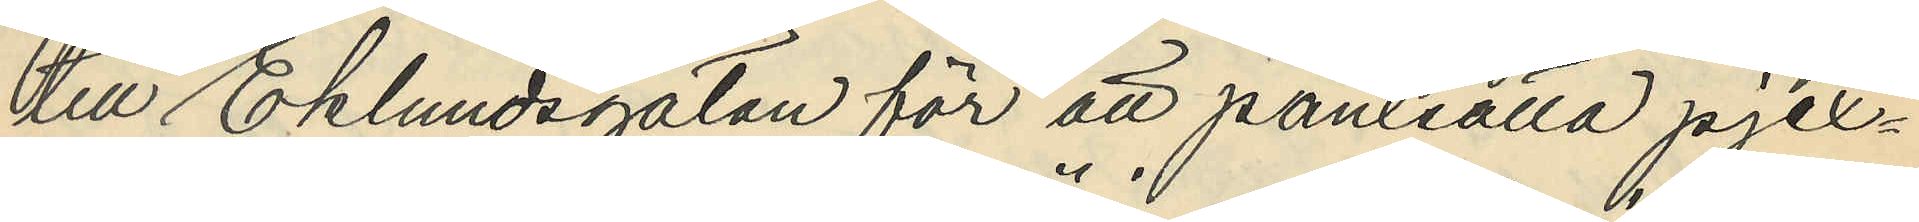till Eklundsgatan för att pantsätta pjex¬
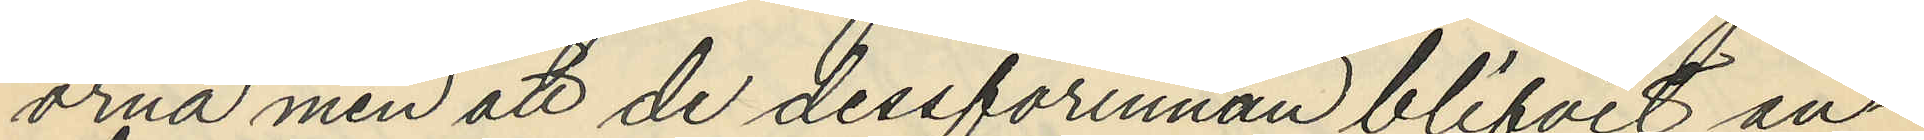orna men att de dessförinnan blifvit an¬
